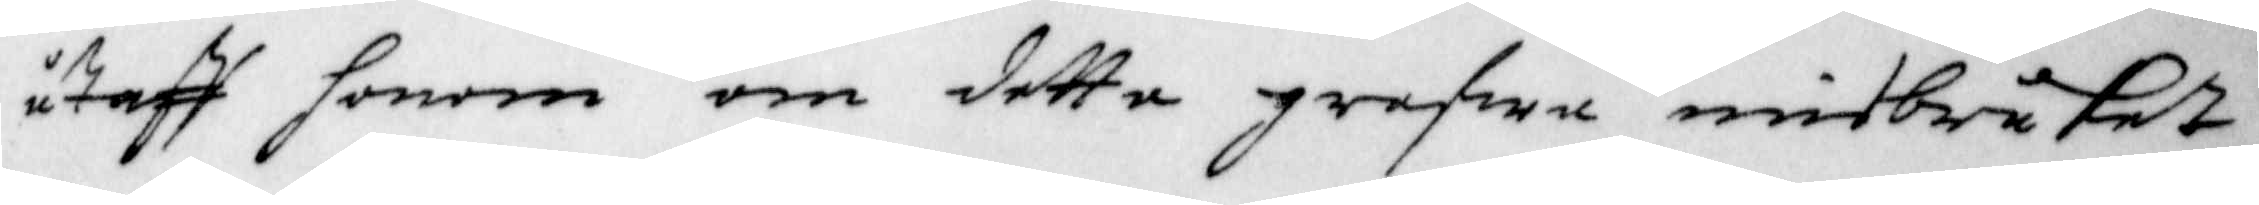utaff honom om dette grafwa misbruket
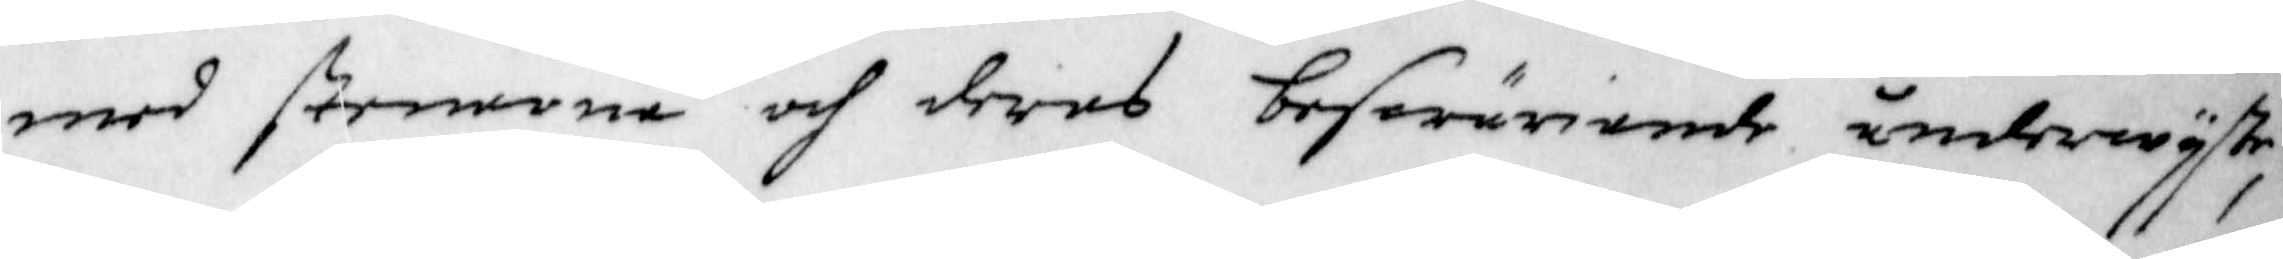med stenarna och deras beswäriande underwijste,
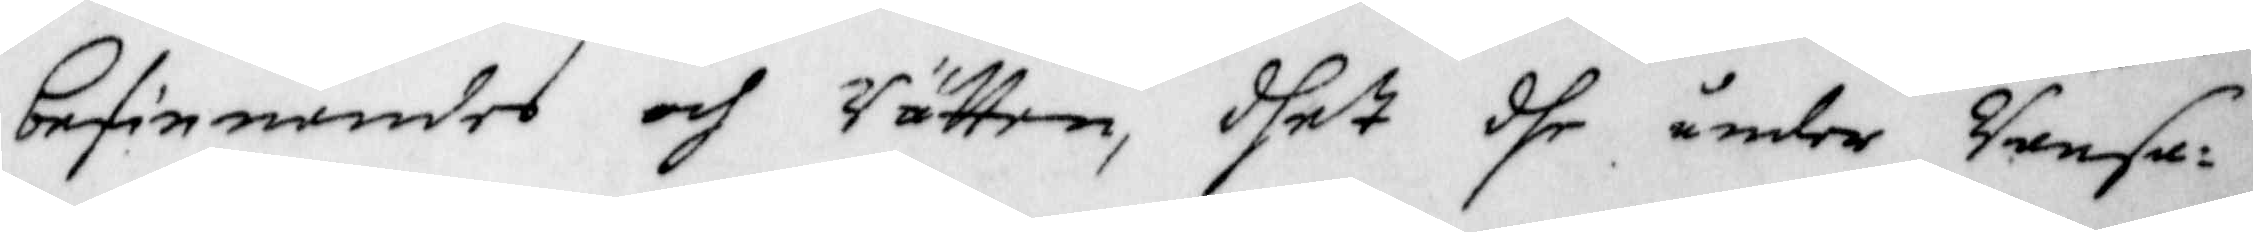befinnandes och Rätten, dhet det under Ransa¬
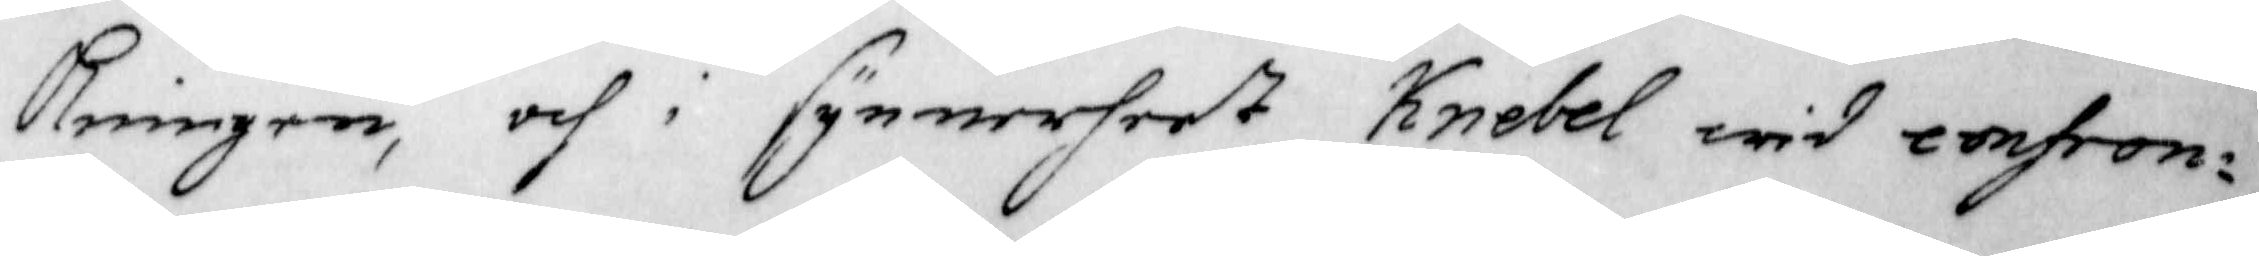kningen, och i synnerheet Knebel wid confron¬
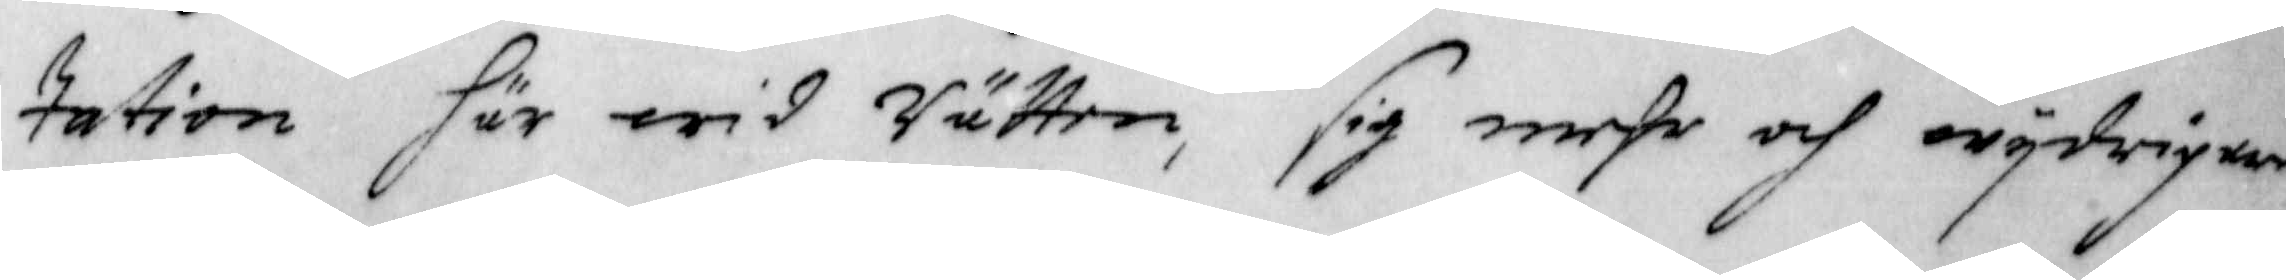tation här wid Rätten, sig mehr och wijdrigen
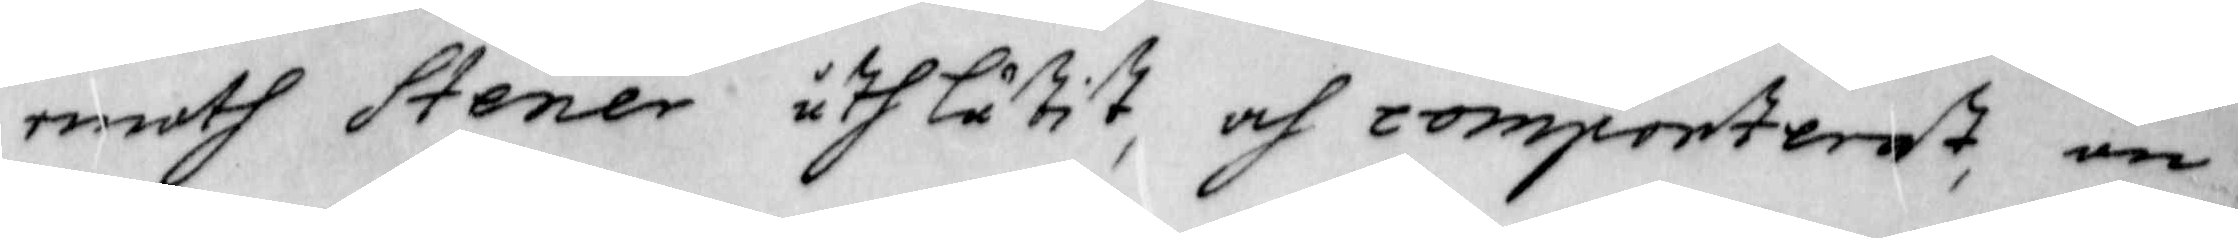emoth Stener uthlåtit, och comporterat, än
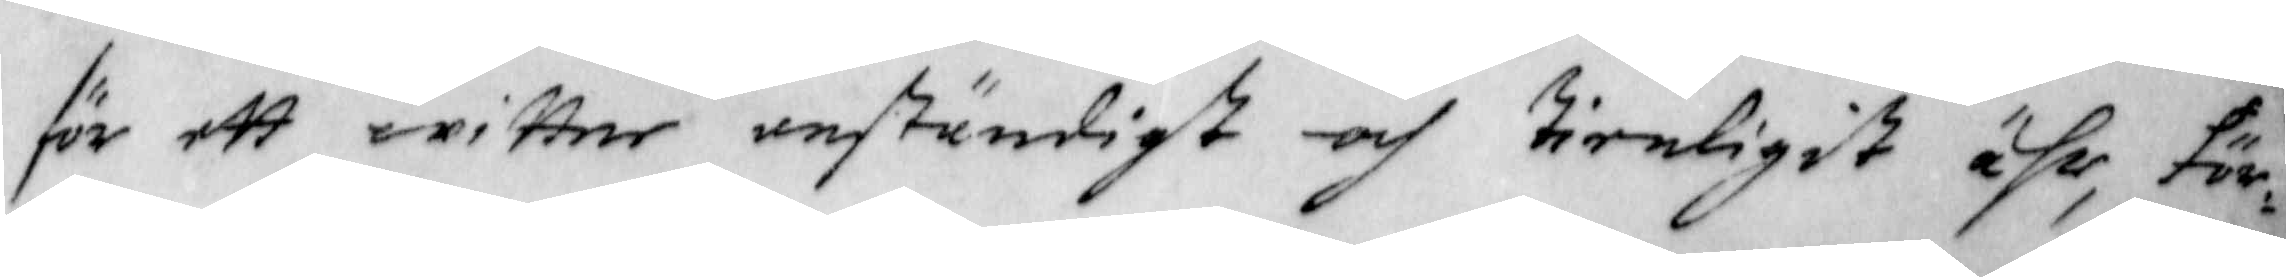för ett wittne anständigt och tienligit ähr, för¬
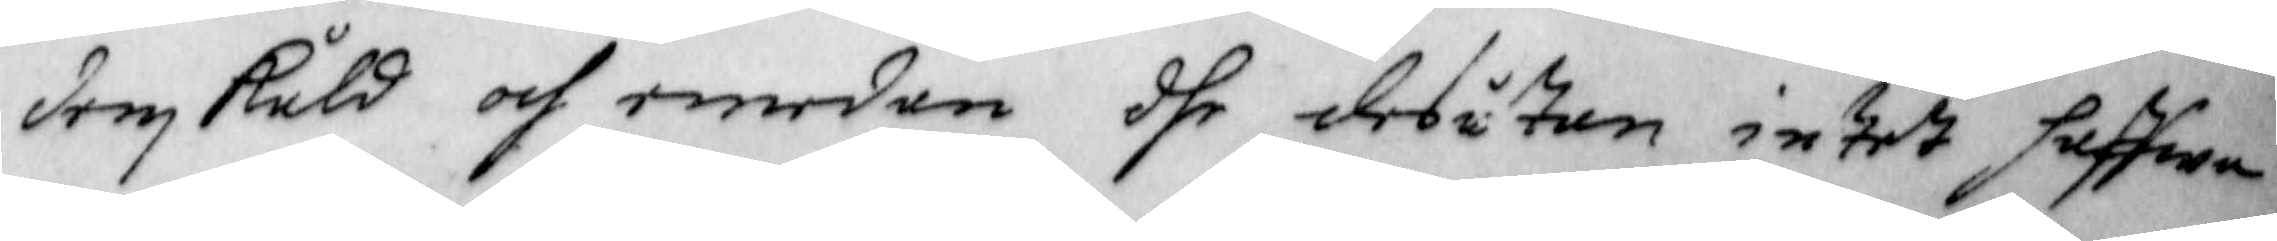denskuld och emedan dhe des utan intet haffwa
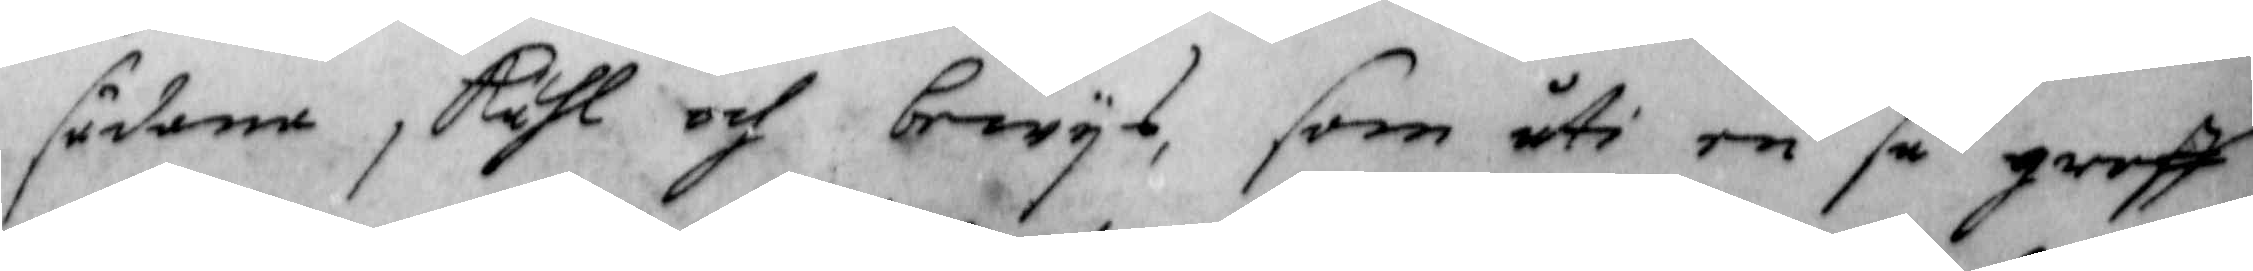sådana skähl och bewijs, som uti en så groff
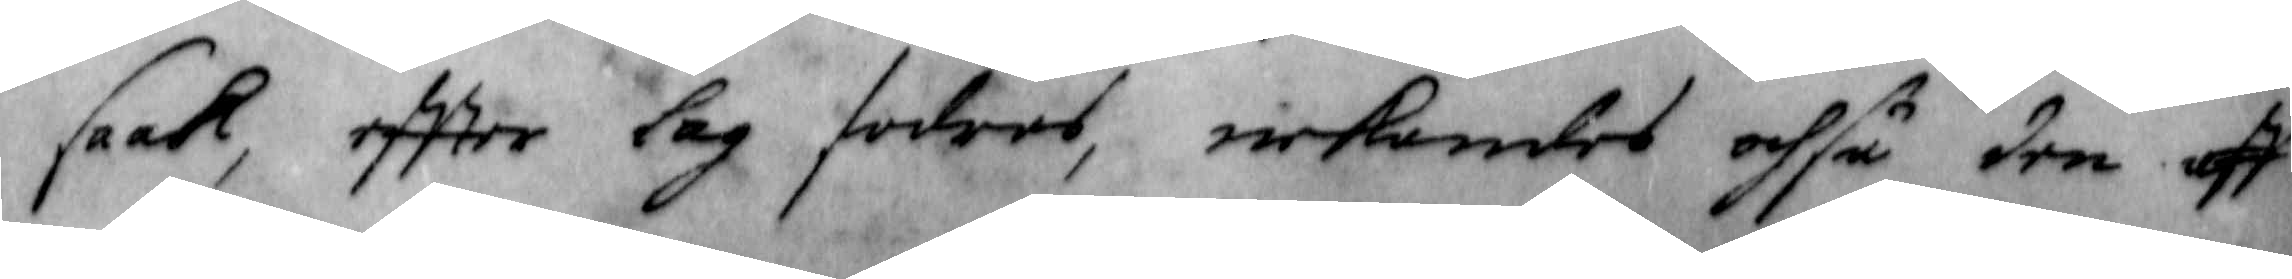saak, effter Lag fodras, nekandes ochså den aff
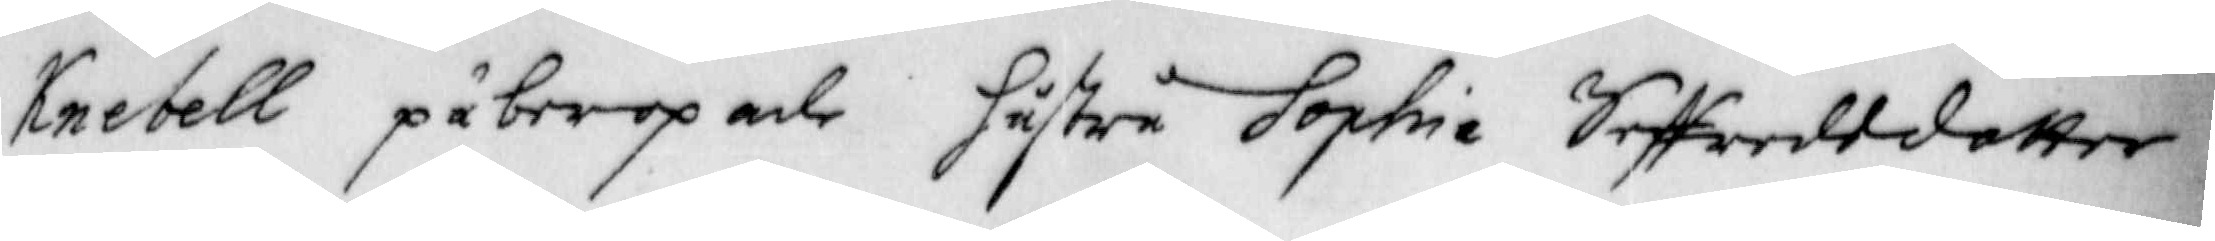Knebell påberopade hustru Sophia Seffredsdotter
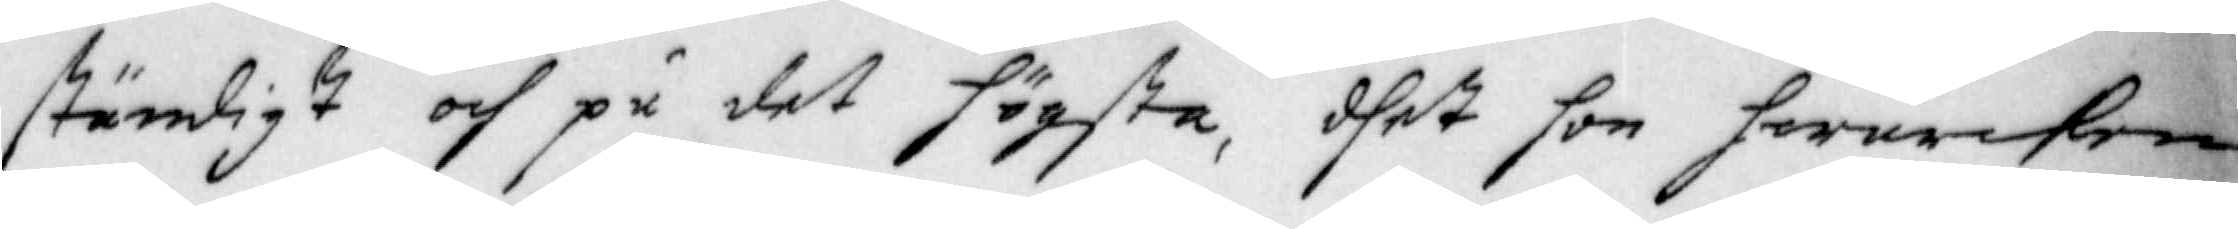ständigt och på det högsta, dhet hon hwarcken
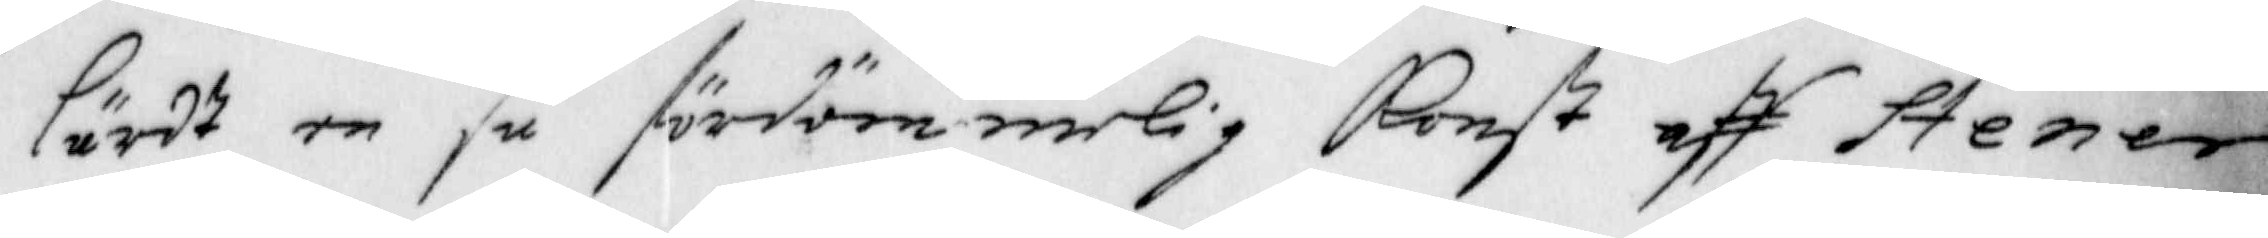Lärdt en så fördömmelig Konst aff Stener
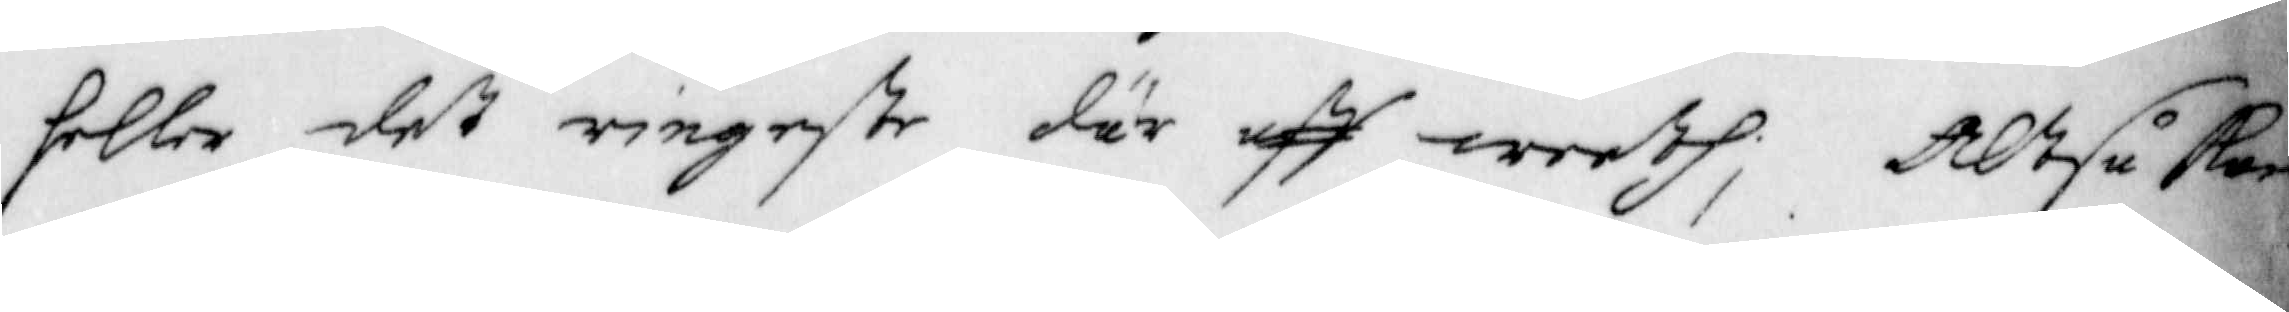heller det ringaste där aff weeth; Altså Kan
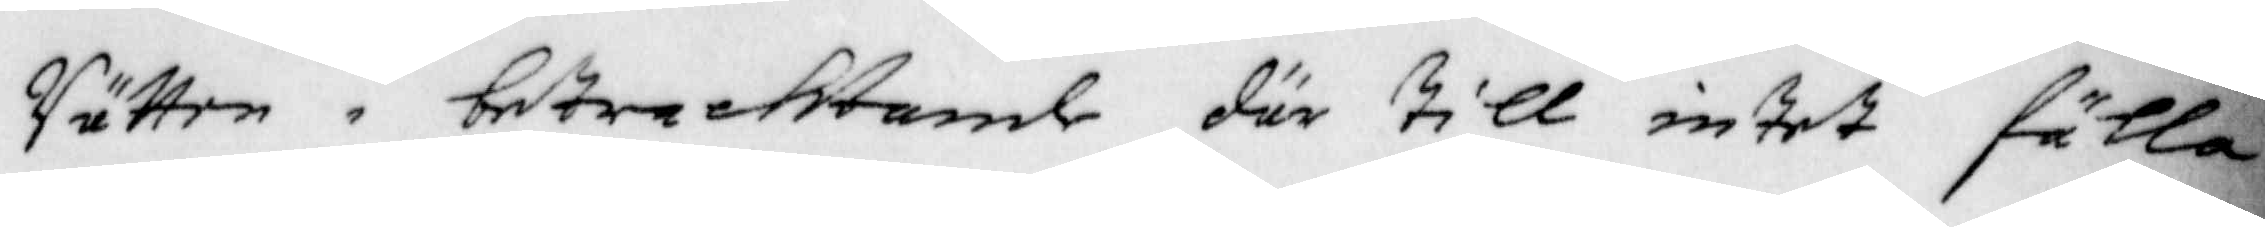Rätten i betrachtande där till intet fälla
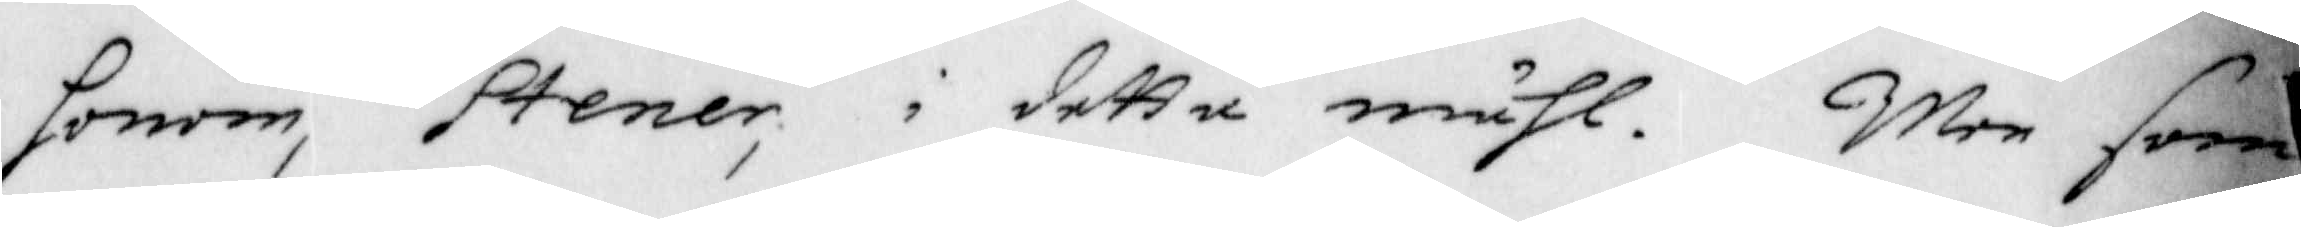honom, Stener, i detta måhl. Men som
